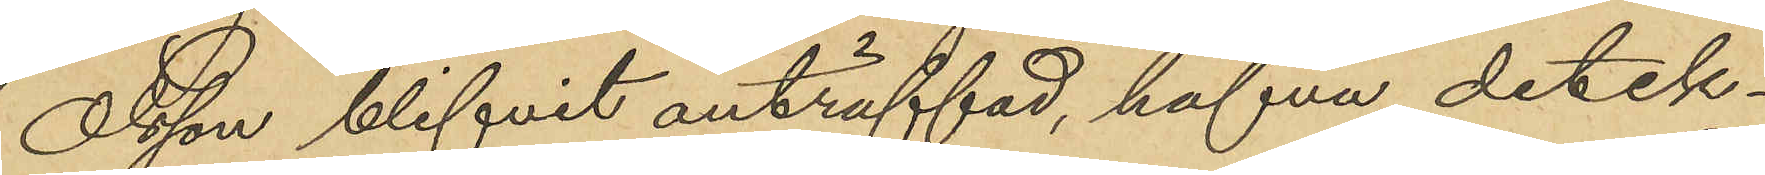Olsson blifvit anträffad, hafva detek¬
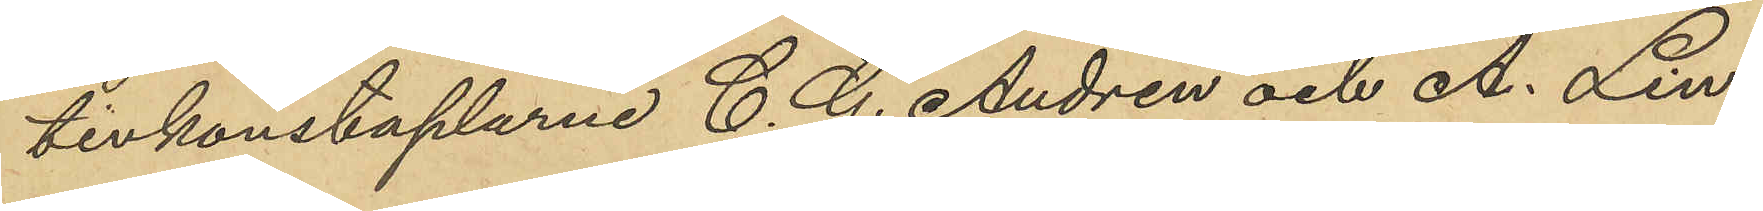tivkonstaplarne C. G. Andrén och A. Lin¬
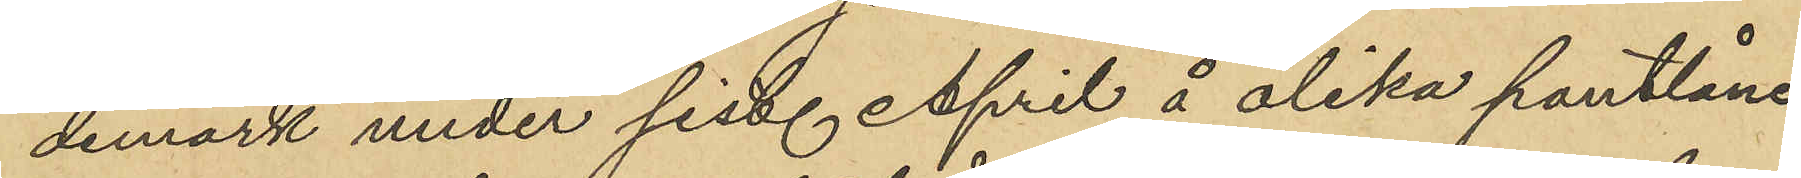demark under sist. April å olika pantlåne¬
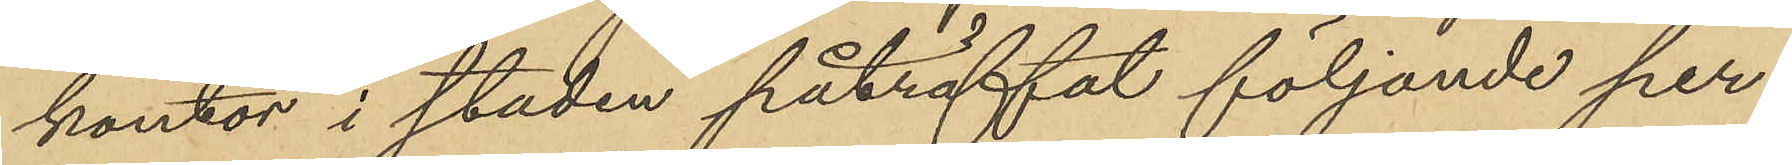kontor i staden påträffat följande per¬
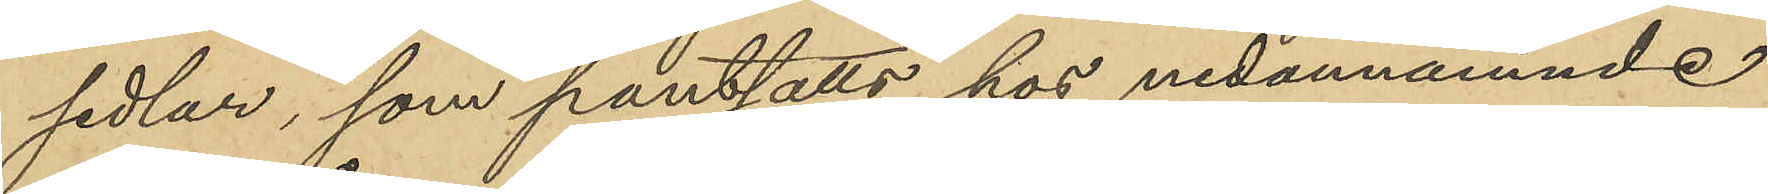sedlar, som pantsatts hos nedannämnde
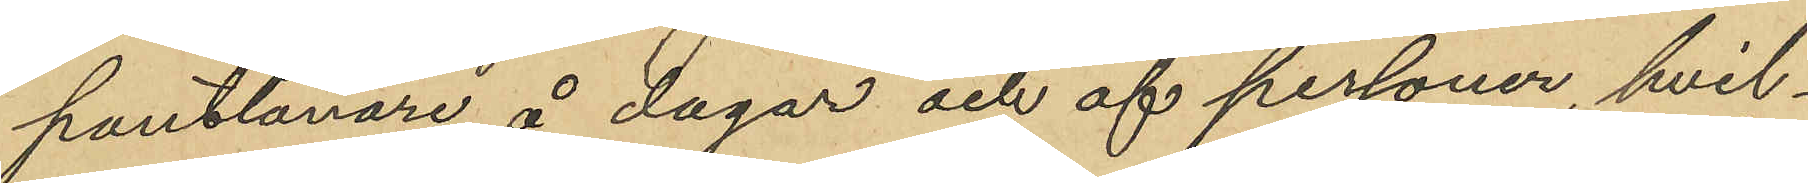pantlånare å dagar och af personer, hvil¬
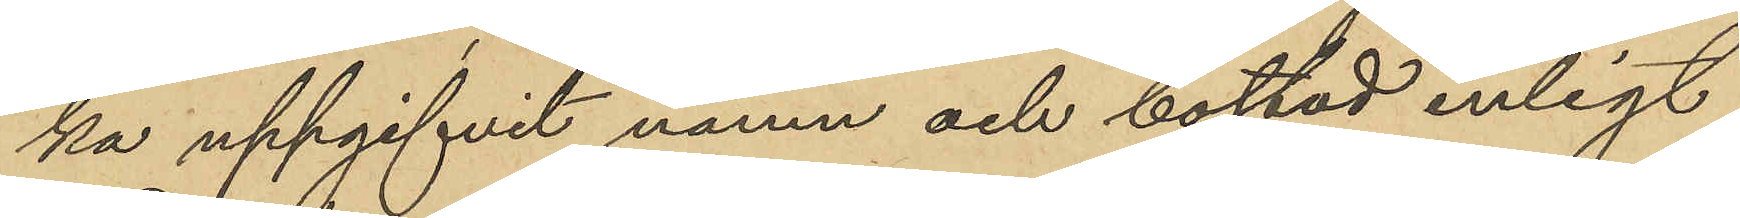ka uppgifvit namn och bostad enligt
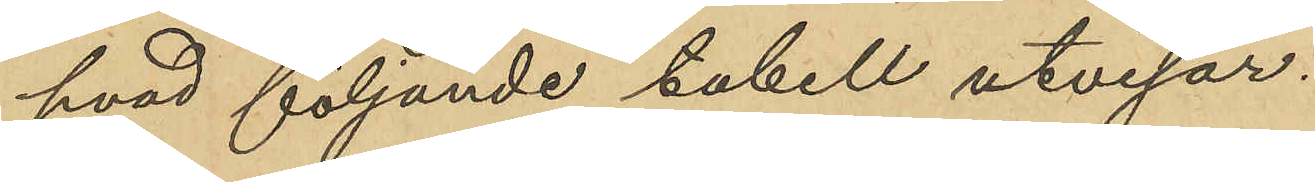hvad följande tabell utvisar.
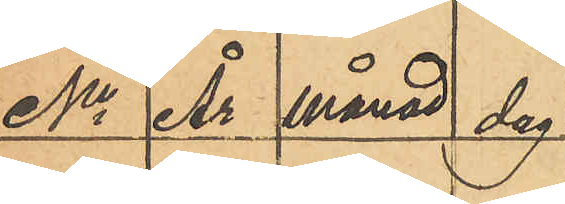No År månad dag
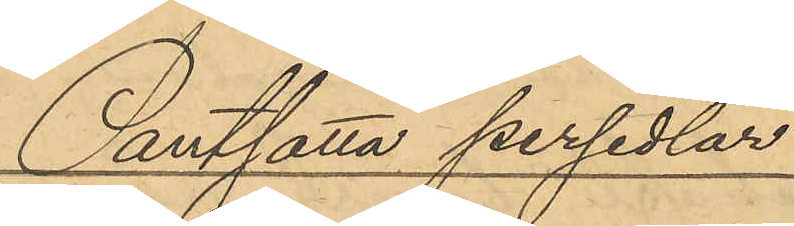Pantsatta persedlar
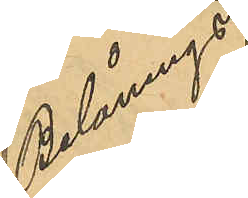Belånings
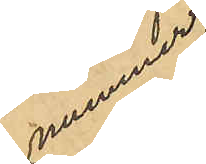nummer
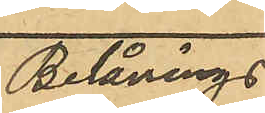Belånings
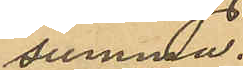summa.
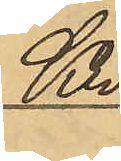Kr
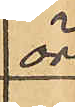öre
